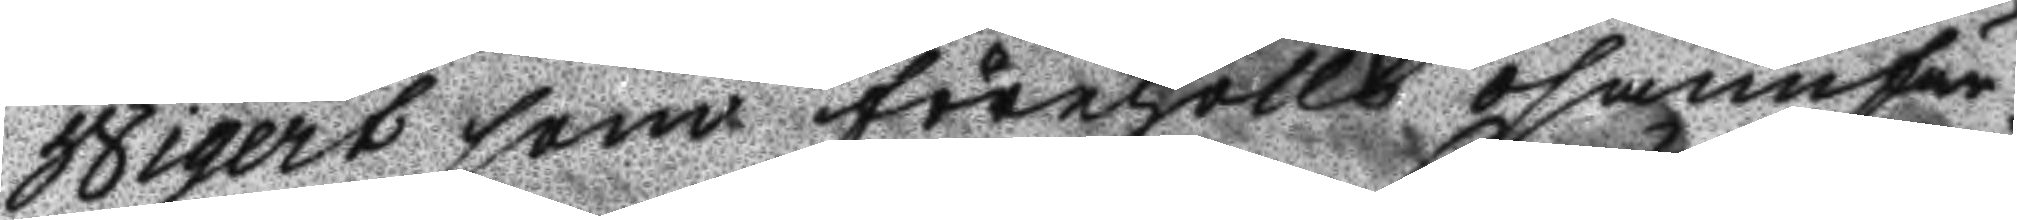Wigert som förehöllt osannfär¬
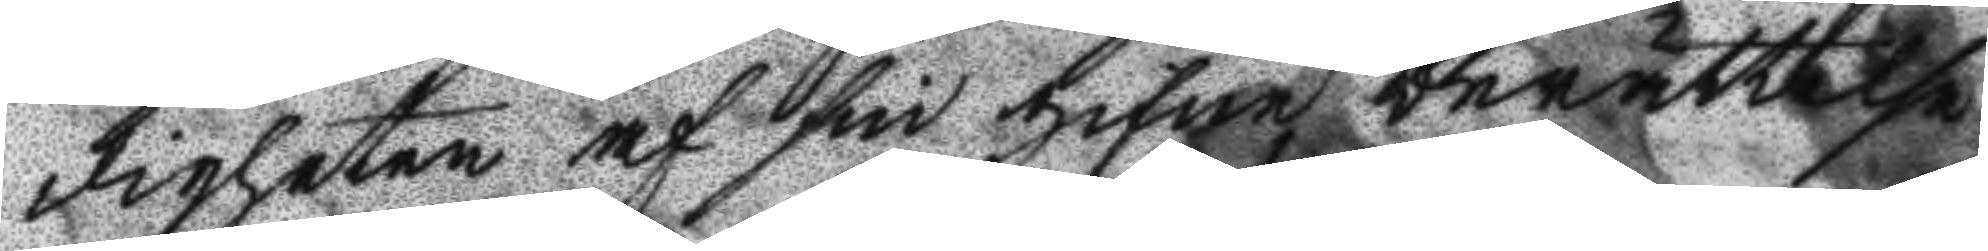digheten af sin gifne berättelse
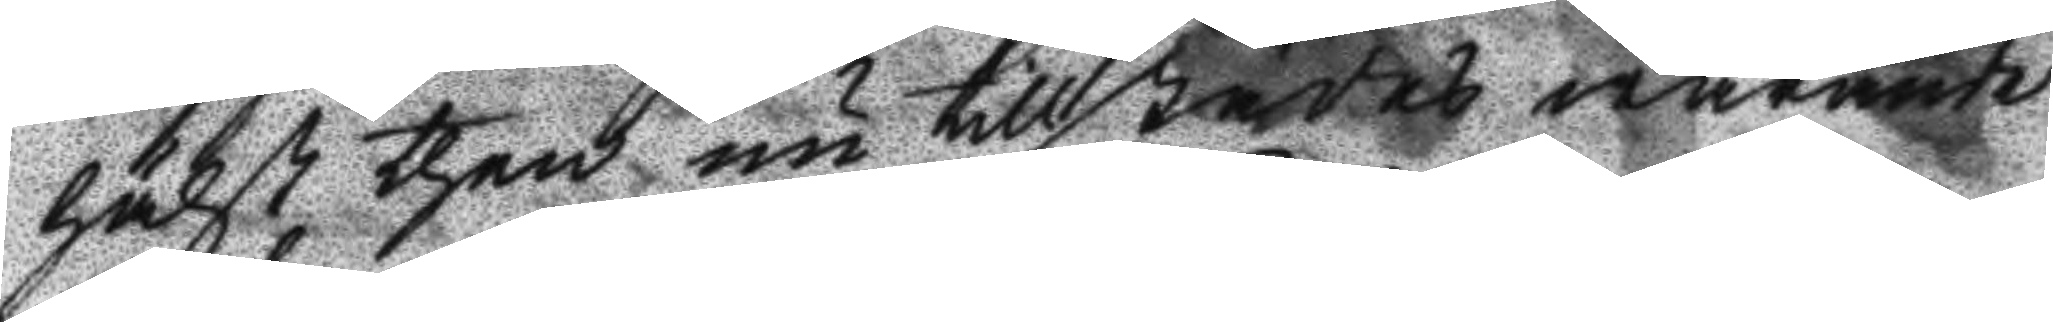hälst then nu tillstädes warande
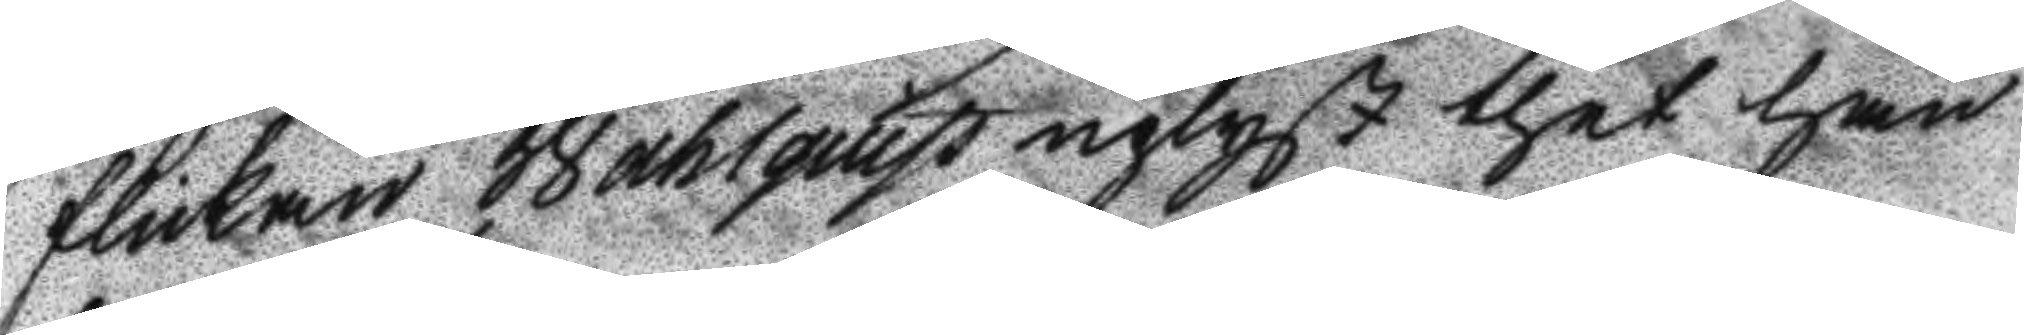flickan Wahlquist uplyst thet han
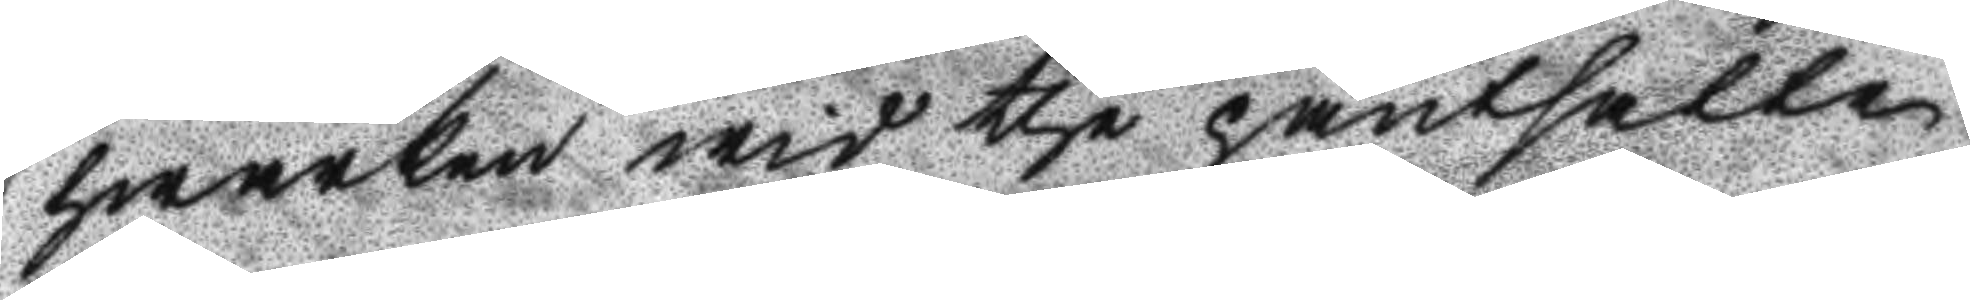hwarken wid the pantsatte
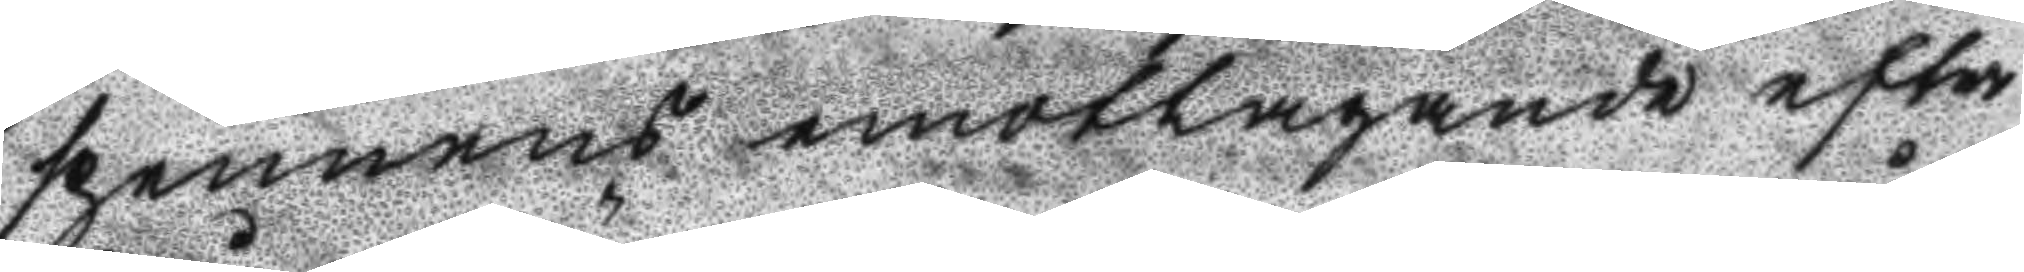spennens emottagande efter
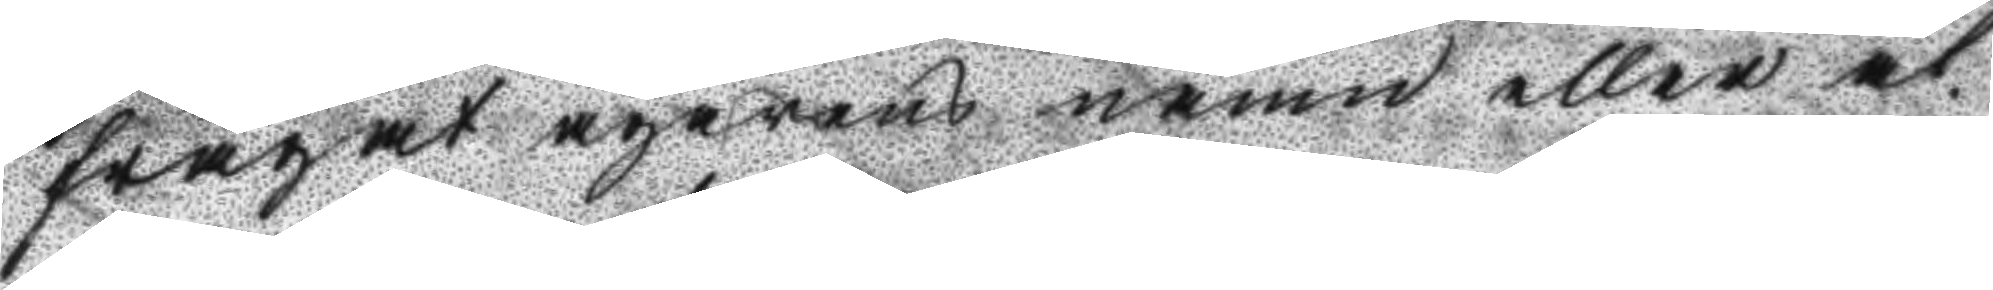frågat ägarens namn eller åt¬
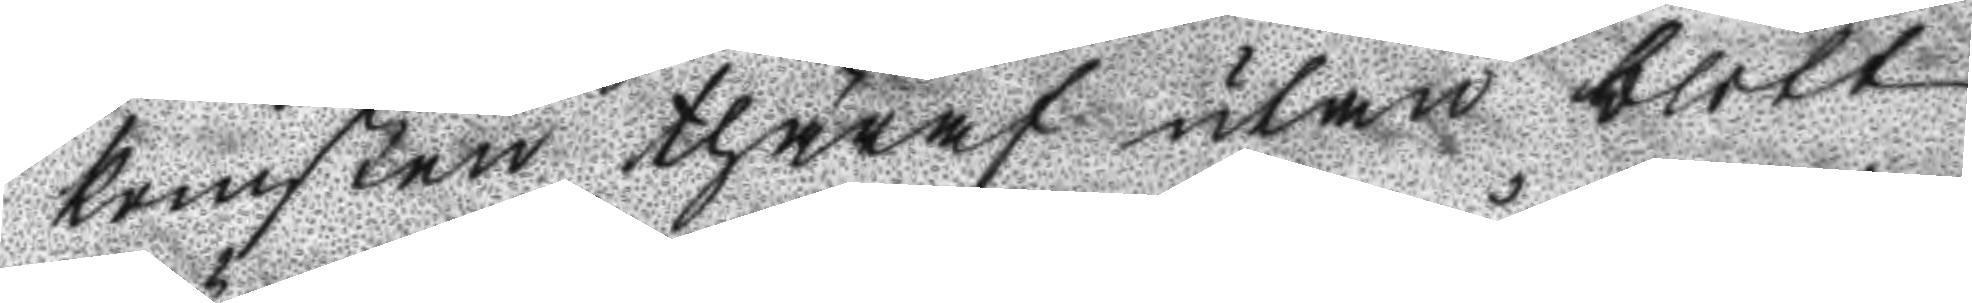komsten thäraf utan blott
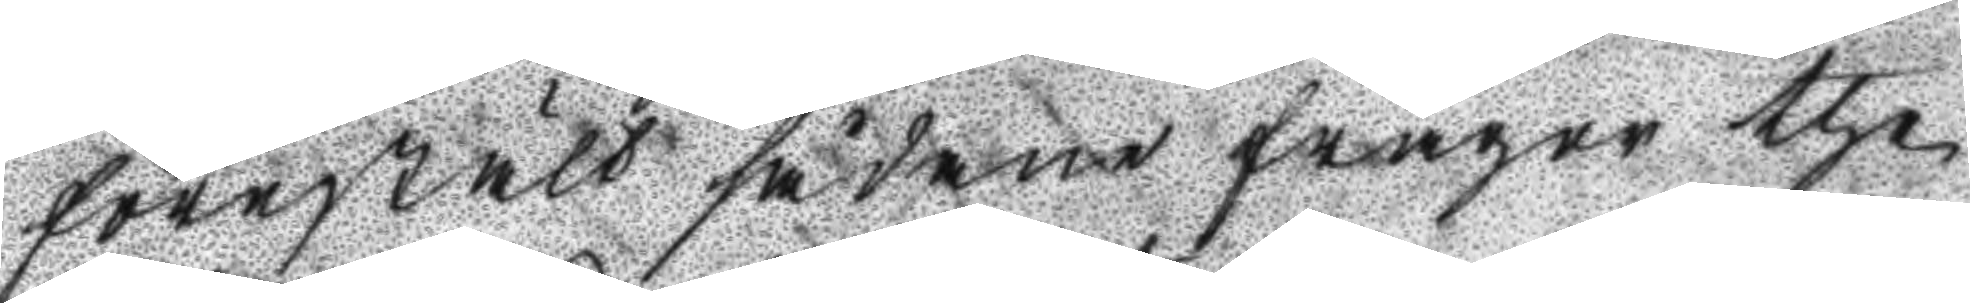föreställt sådane frågor the
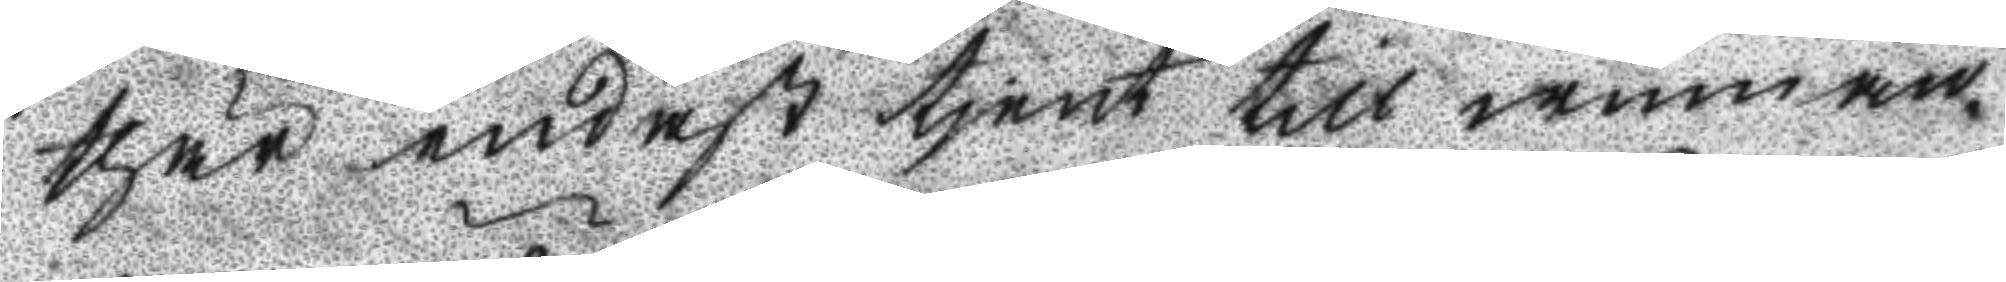thär endast tjent till winnan¬
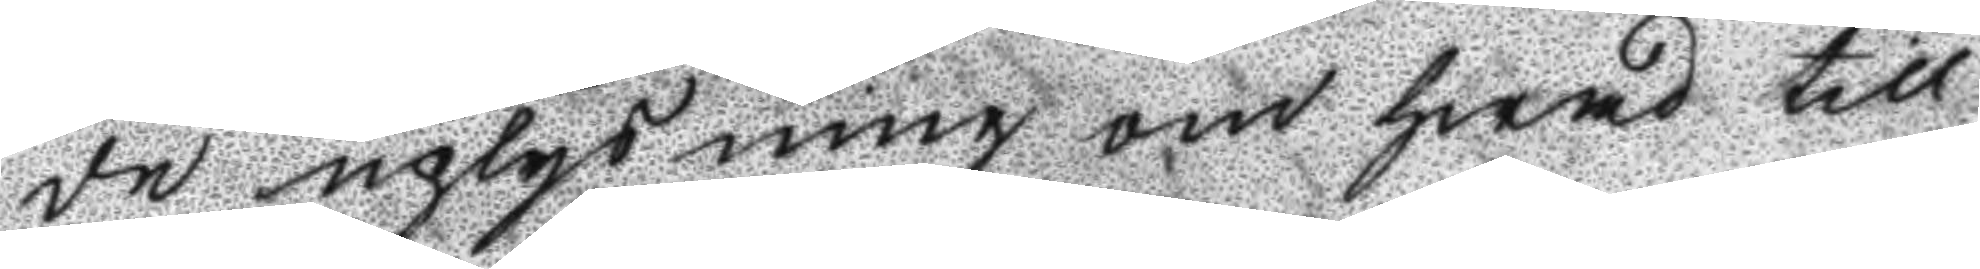de uplysning om hwad till
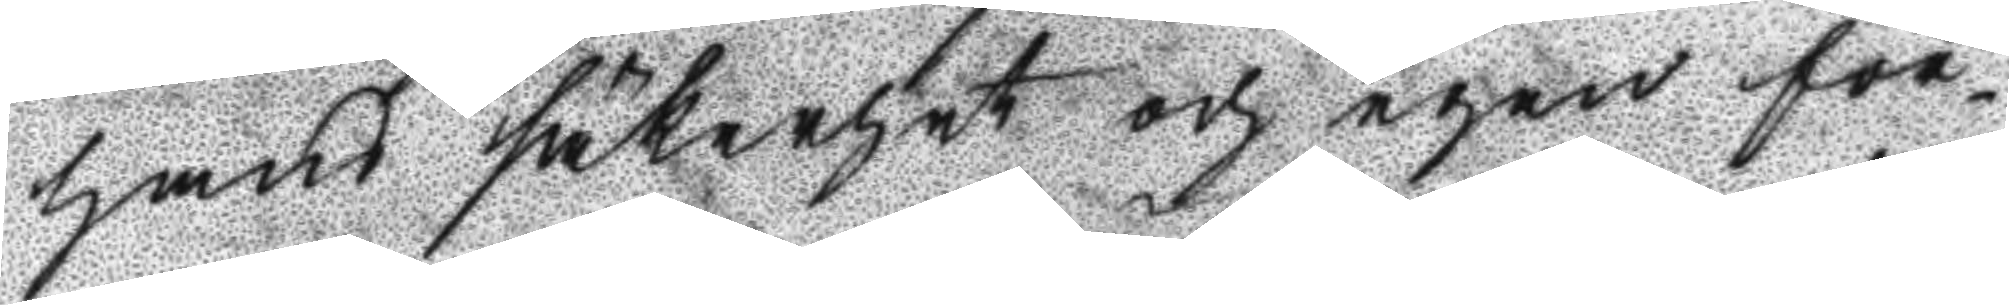hans säkerhet och egen för¬
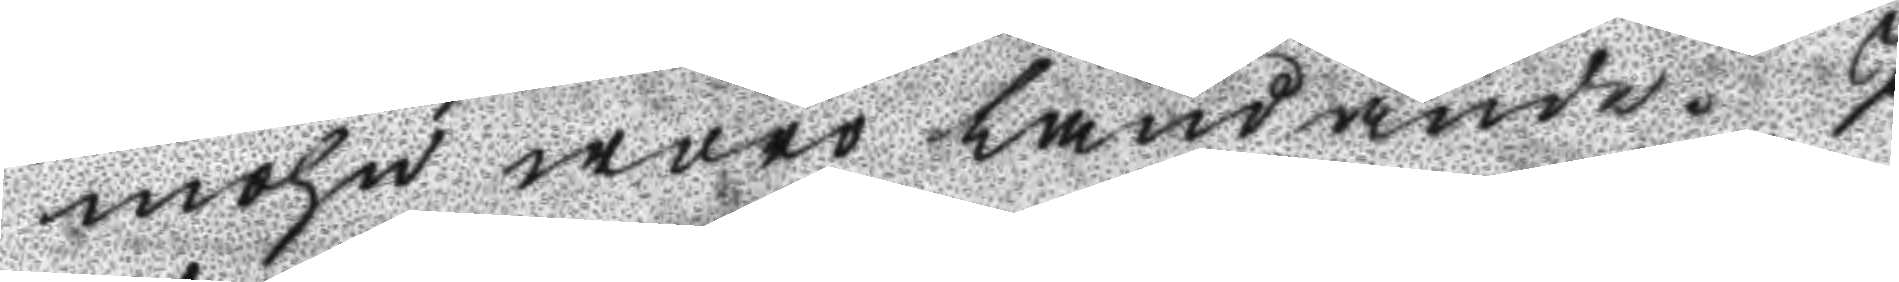mohn woro ländande. I
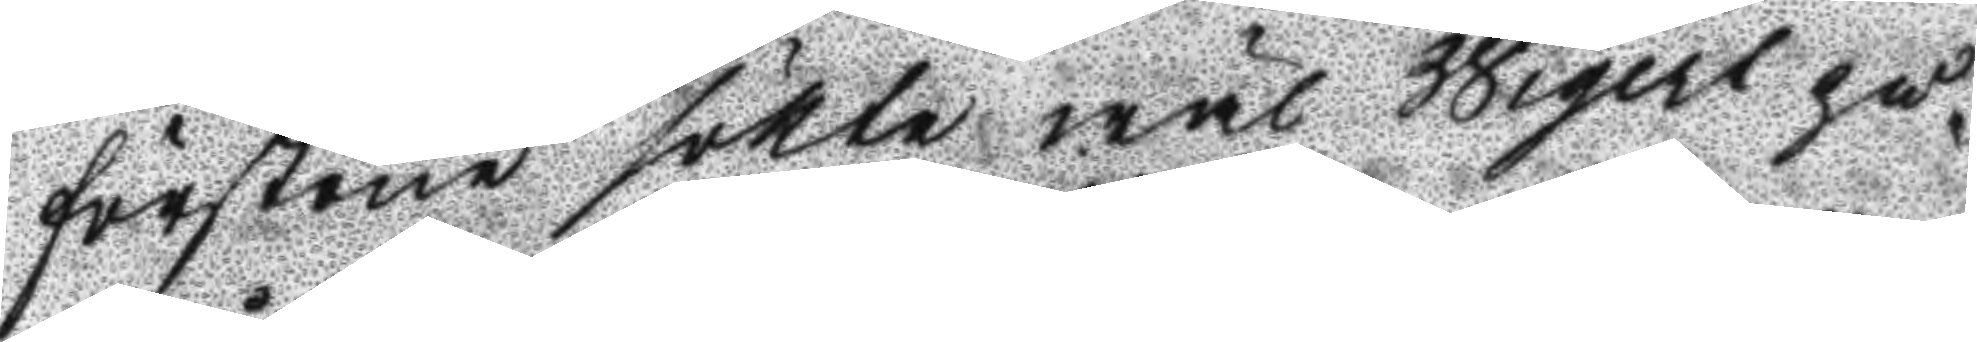förstone sökte wäl Wigert på¬
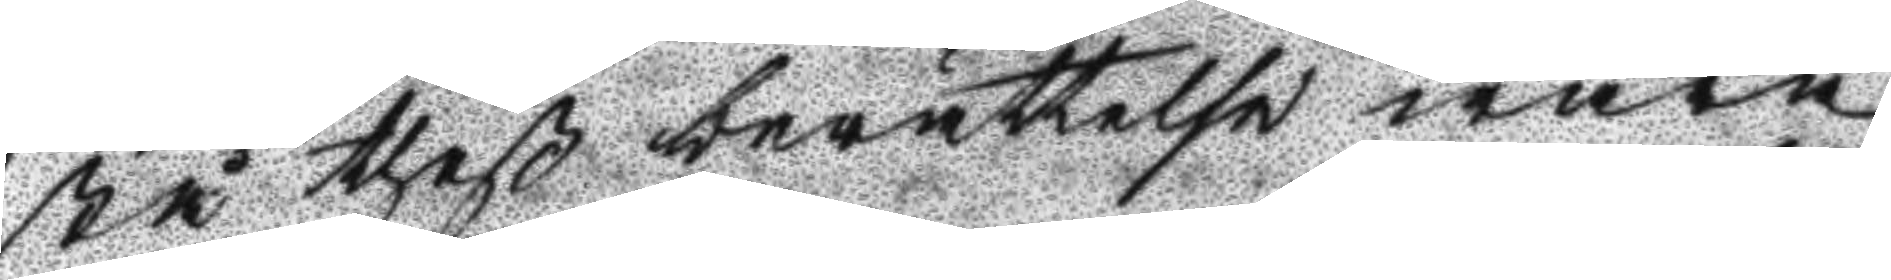stå theß berättelse wara
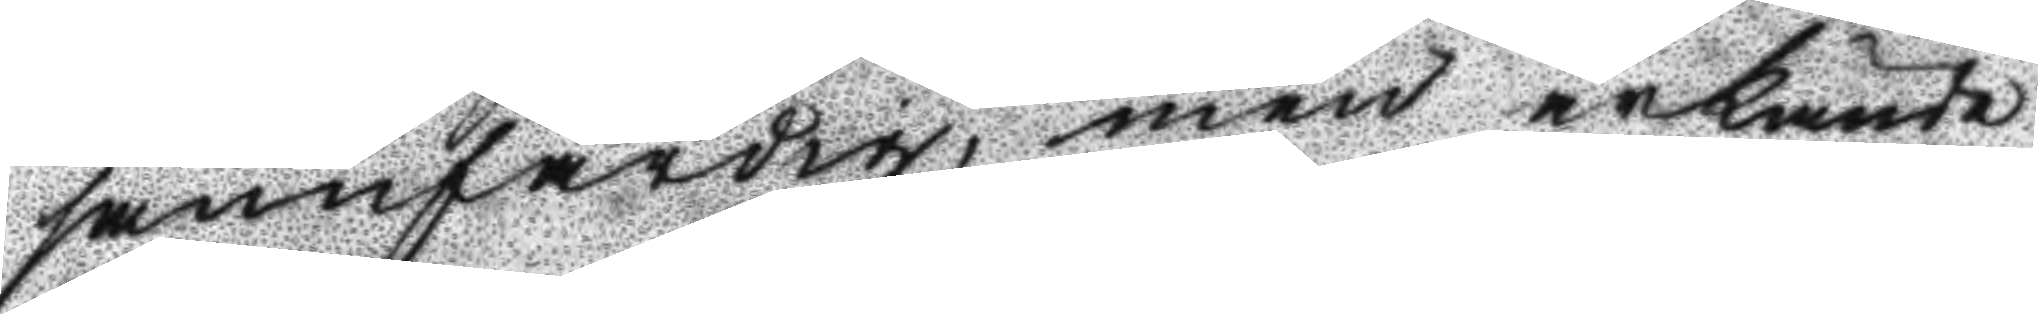sannfärdig, men ärkände
